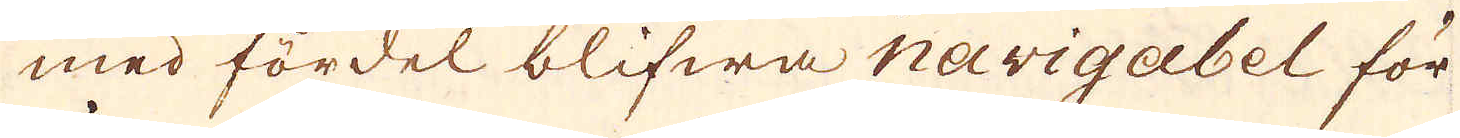med fördel blifwa navigabel för
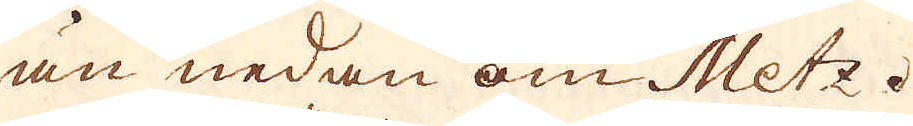än nedan om Metz.
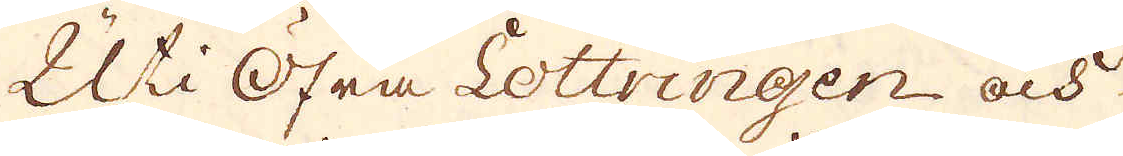Uti Öfra Lottringen och
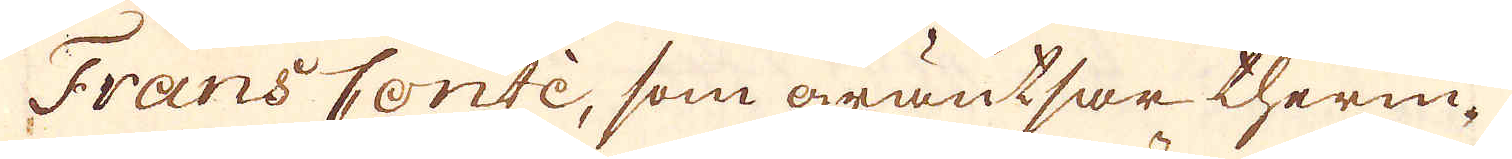Frans Contè, som gräntsar therin-
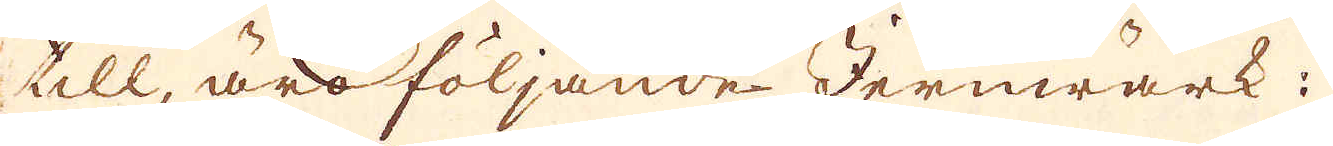till, äro följande Jernwärk:
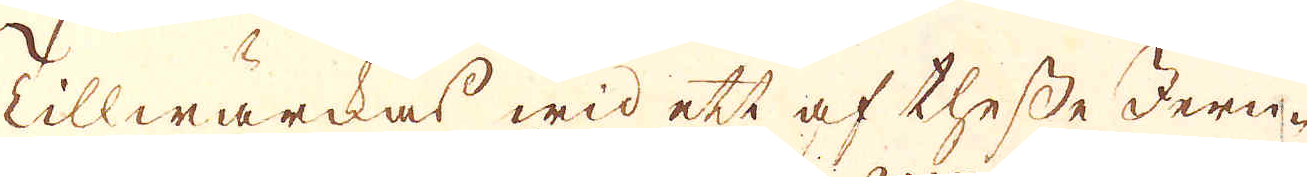Tillwärckas wid ett af thesse Jern-
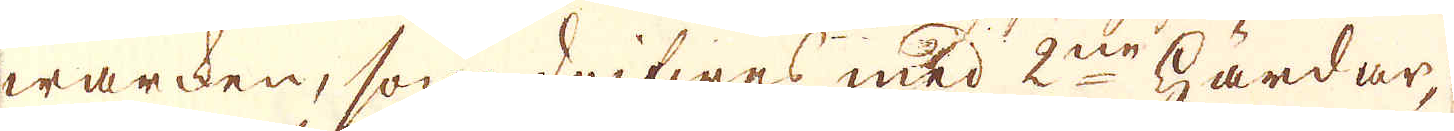warcken, som drifwes med 2ne härdar,
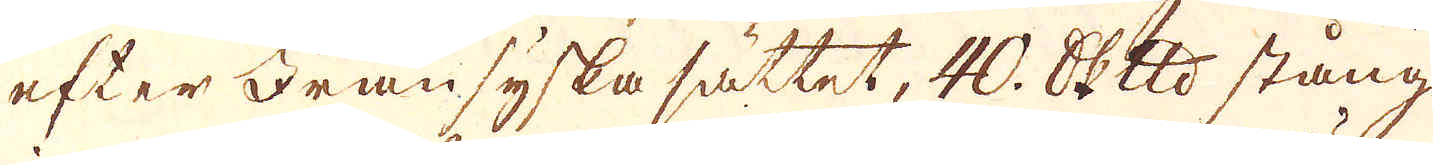efter Fransyska sättet, 40. skeppund stång
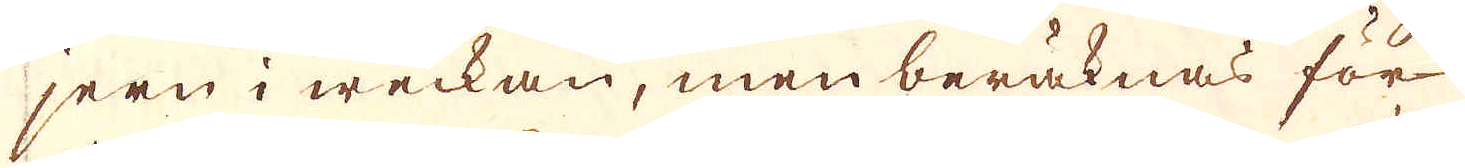jern i weckan, men beräknas för
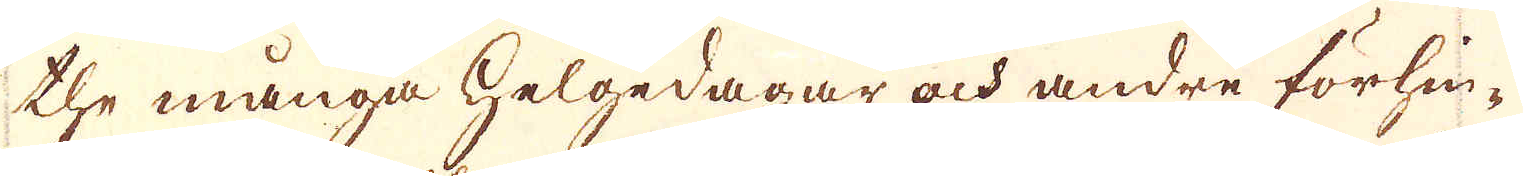the många helgedagar och andre förhin-
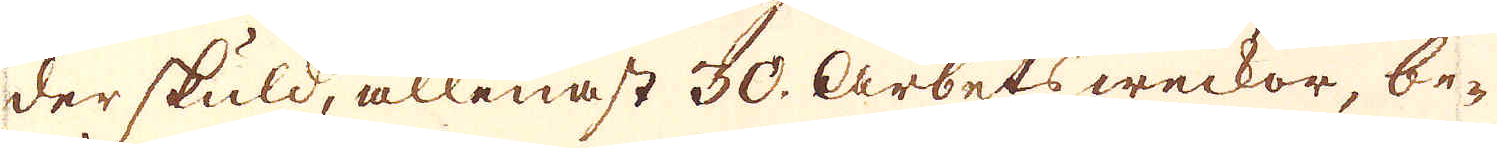der skuld, allenast 30. arbets weckor, be-
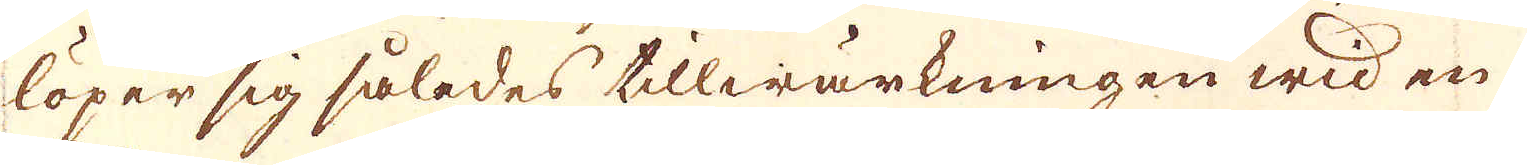löper sig således tillwärkningen wid en
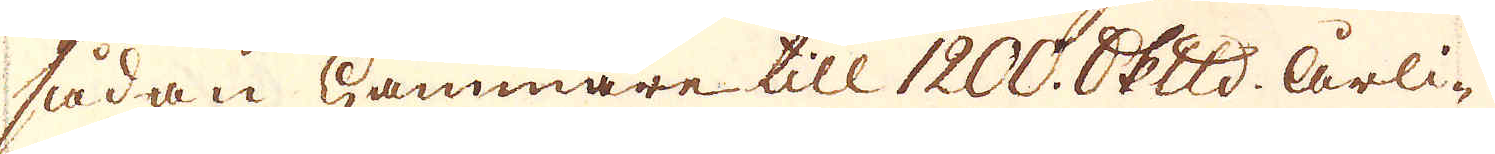sådan hammare till 1200. skeppund årli-
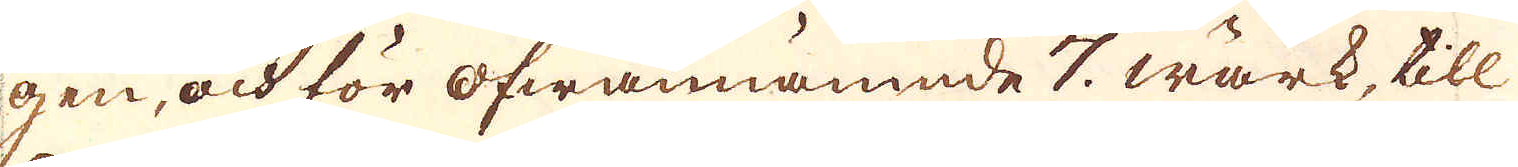gen, och för ofwannämnde 7. wärk, till
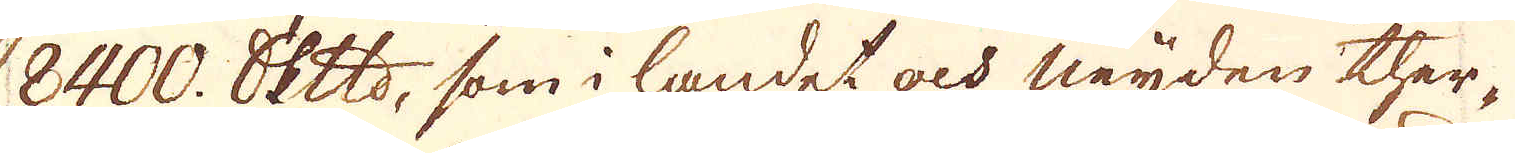8400. skeppund, som i landet och neijden ther-
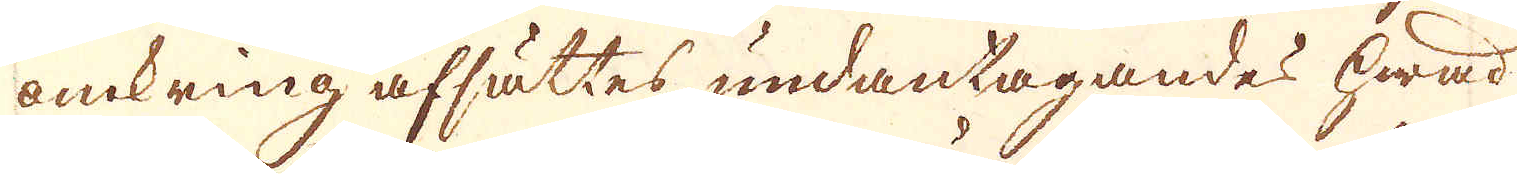omkring afsättes, undantagandes hwad
